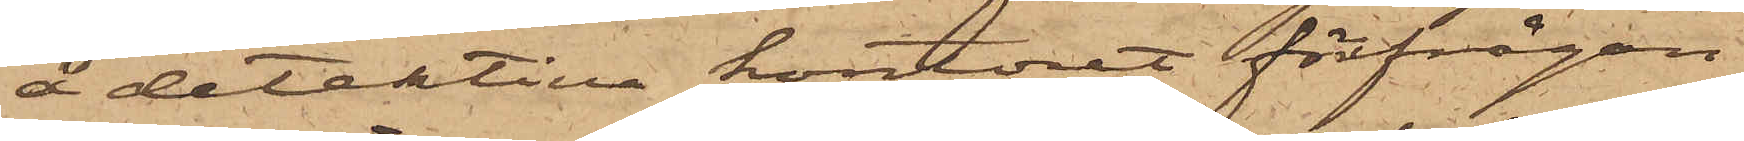å detektiva kontoret förfrågan
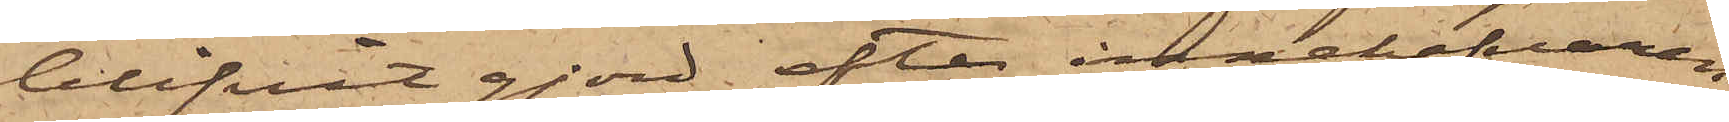blifvit gjord efter innehafvaren
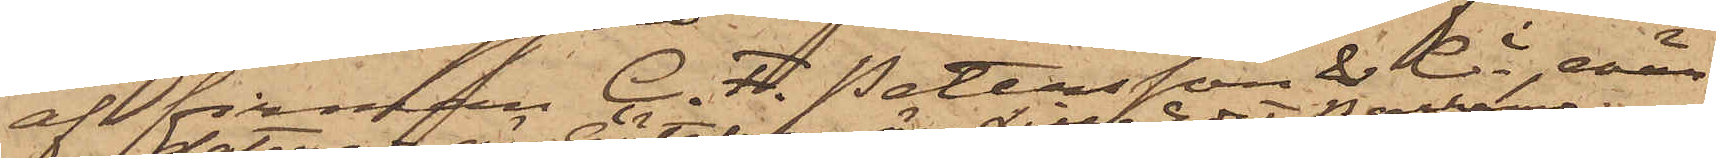af firman C. F. Pettersson & Ci, enär
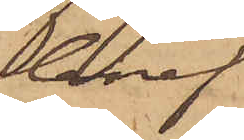bref
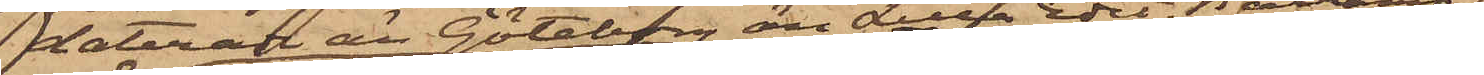daterade än Göteborg än Lilla Edet, Backamo
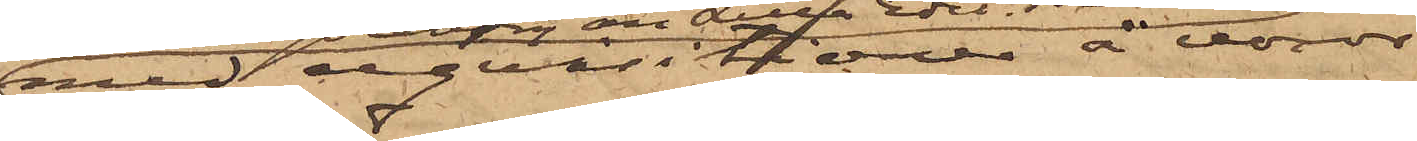med reqvisitioner å varor
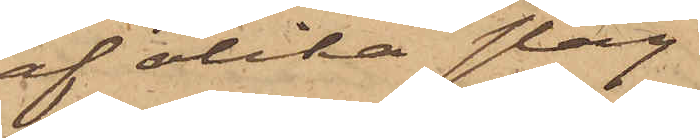af olika slag
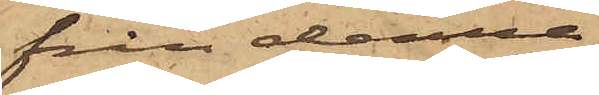från denna
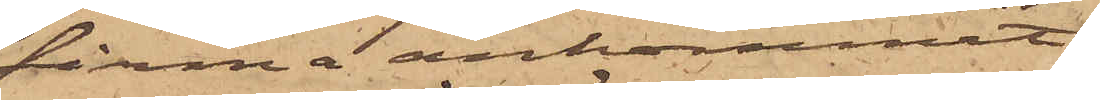firma ankommit
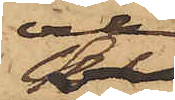och
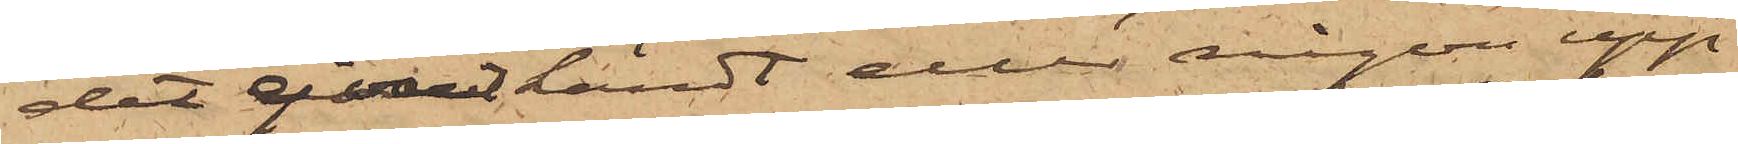det ej varit kändt eller någon upp¬
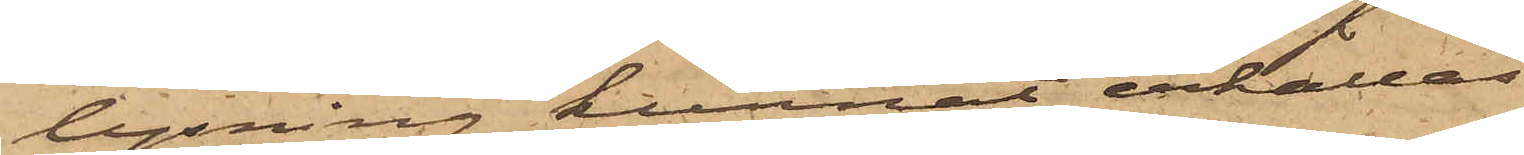lysning kunnat erhållas
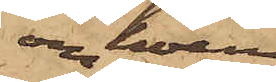om hvem
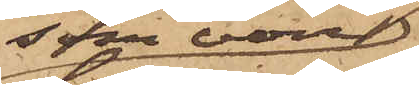som varit
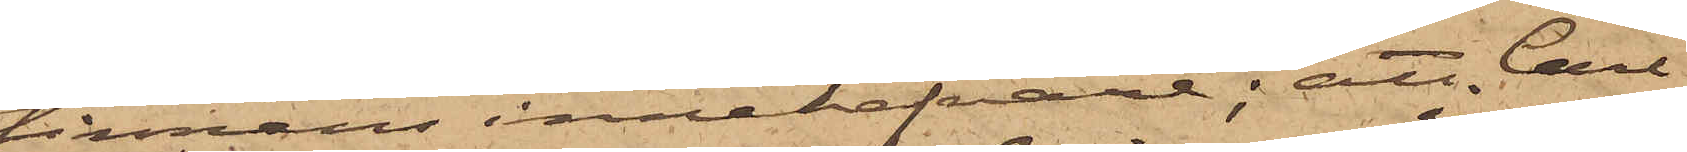firmans innehafvare; att Carl
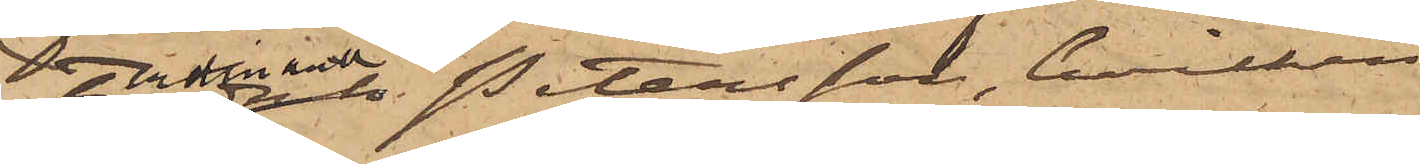Ferdinand Petersson, hvilken
